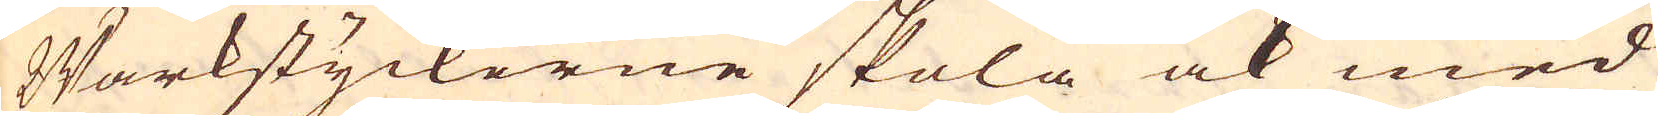Wärkstyckerne skola ock med
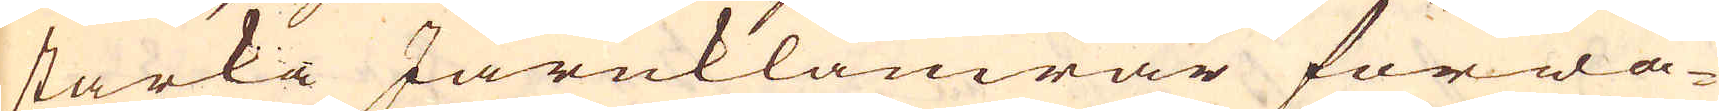starka Järnklamrar förwa-
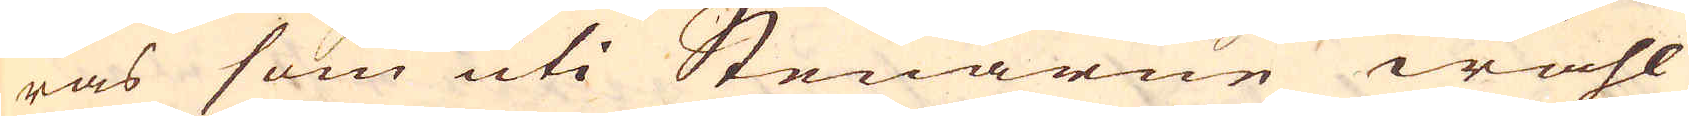ras som uti Stenarne wähl
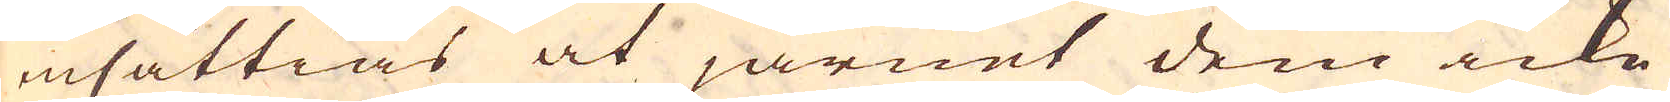insättias at järnet dem icke
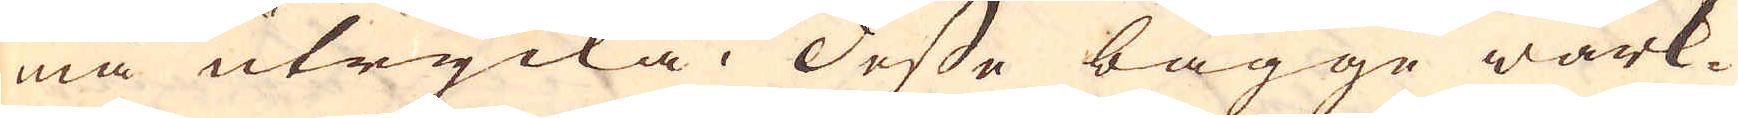må utrycka; Desse bägge wärk-
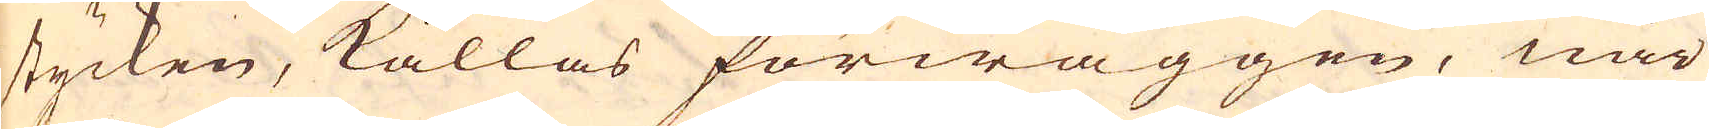stycken, kallas förwäggen, när
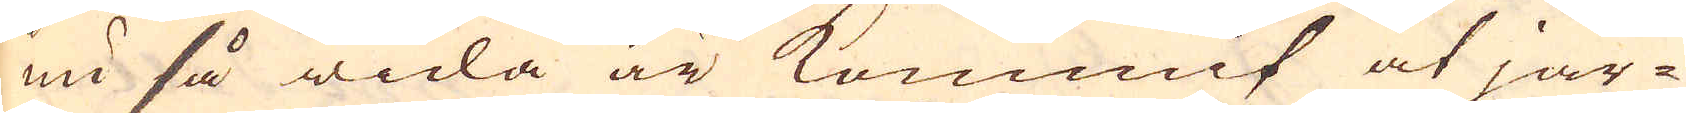nu så wida är kommit at jär-
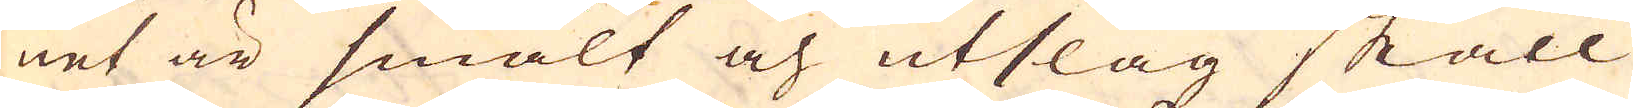net är smält och utslag skall
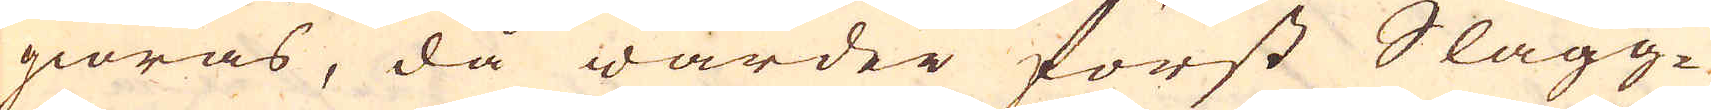giöras, då warder först Slagg-
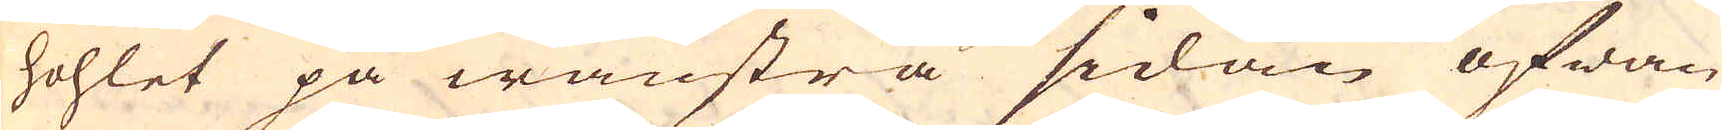hohlet på wänstra sidan ofwan-
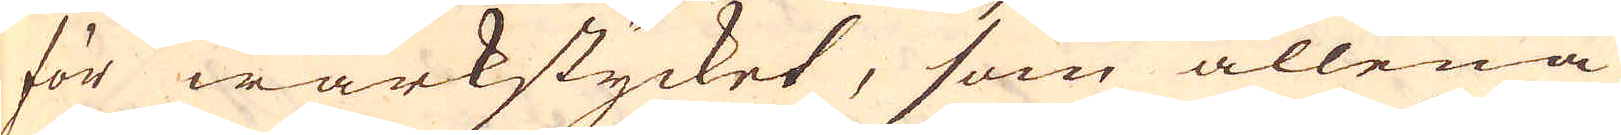för wärkstycket, som allena
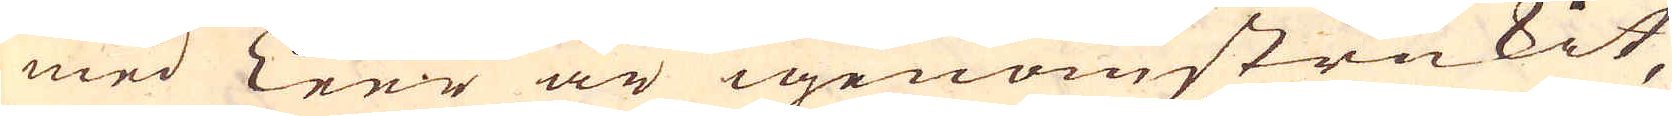med leer är igenomstrukit,
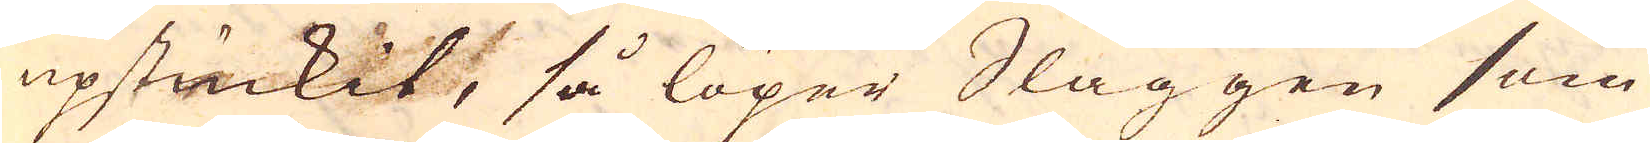upstuckit, så löper Slaggen som
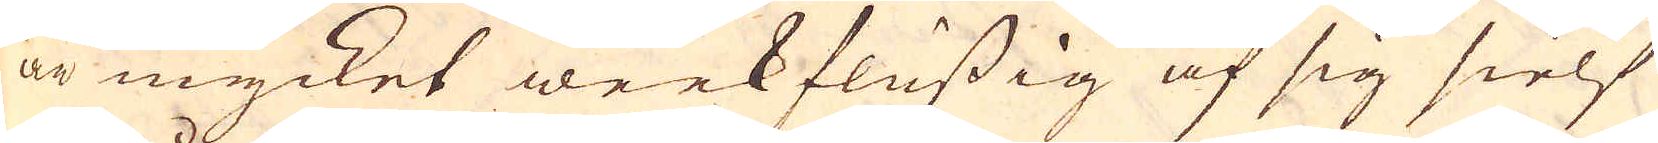är mycket weekflussig af sig sielf
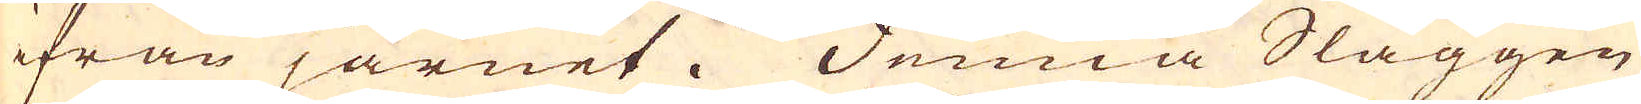ifrån järnet. Denna Slaggen
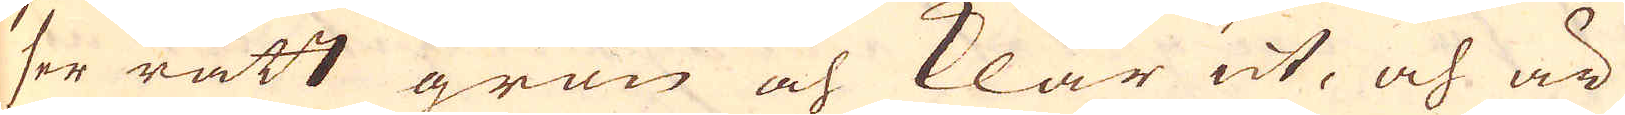ser rätt grön och klar ut, och är
